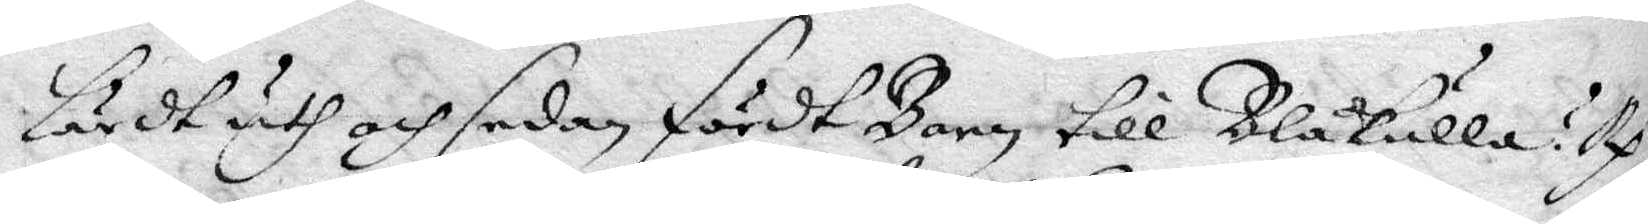lärdt uth och sedan fördt Barn till Blåkulla? Rp. 
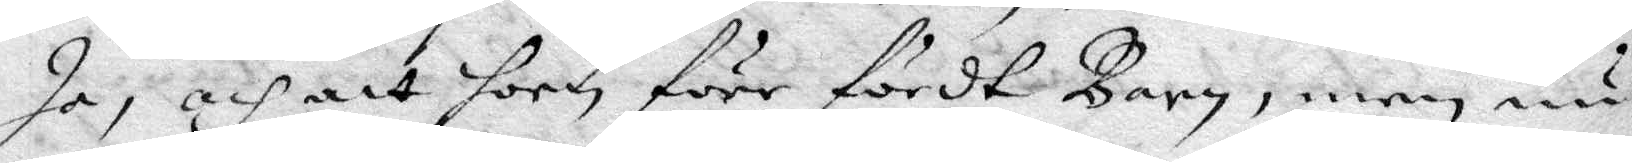Ja, och att hon förr fördt Barn, men nu
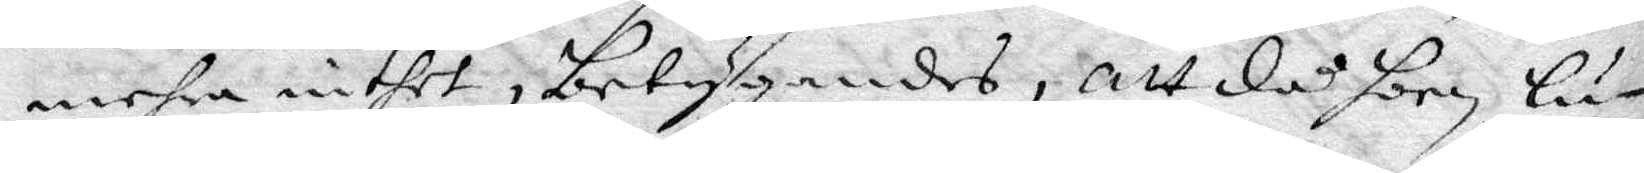mehra intet, betygandes, att då hon lu¬
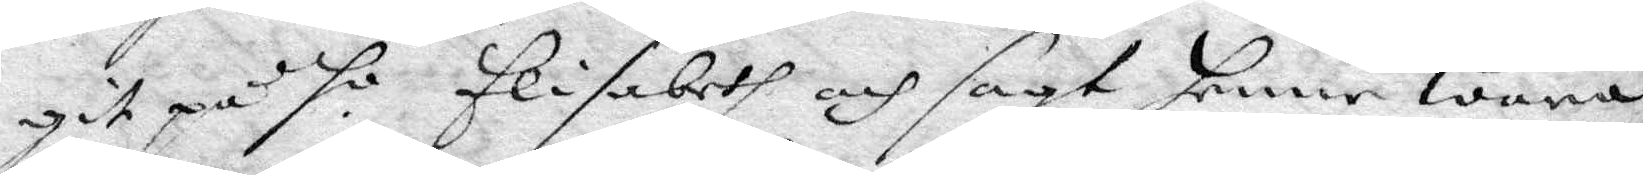git på ho Elisabeth och sagt henne wara
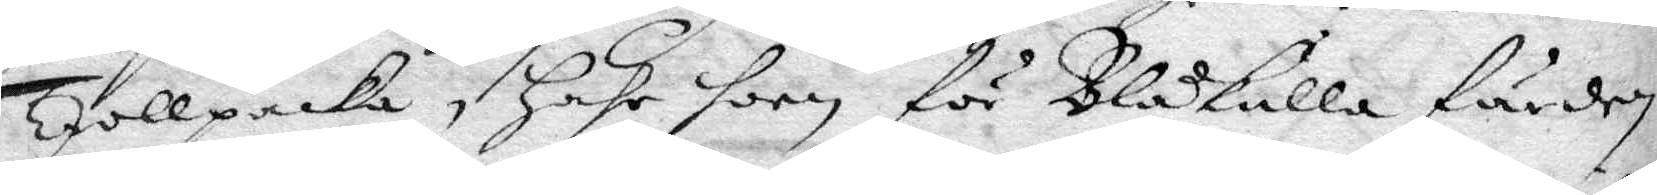Trollpacka, hahr hoon för Blåkulla färden,
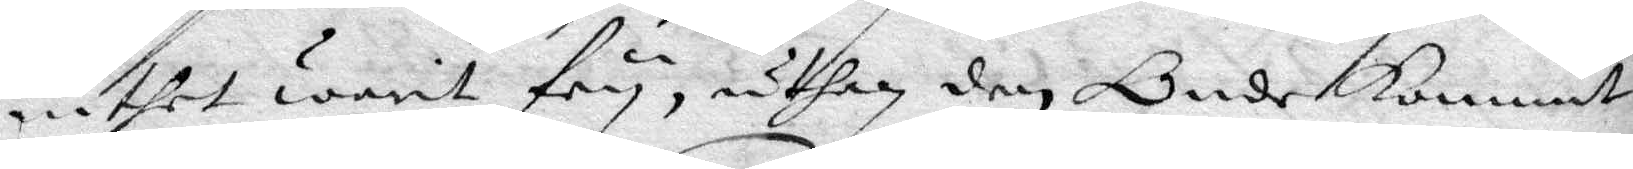intet warit fry, uthan den Onde kommit
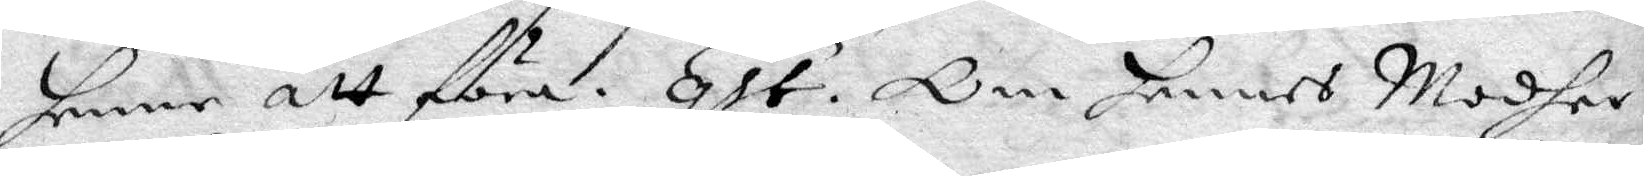henne att föra. qst. Om hennes Modher 
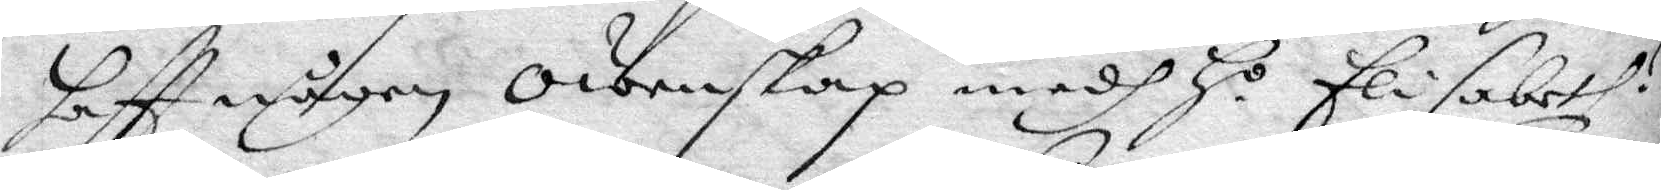haftt någon owenskap medh Ho Elisabeth? 
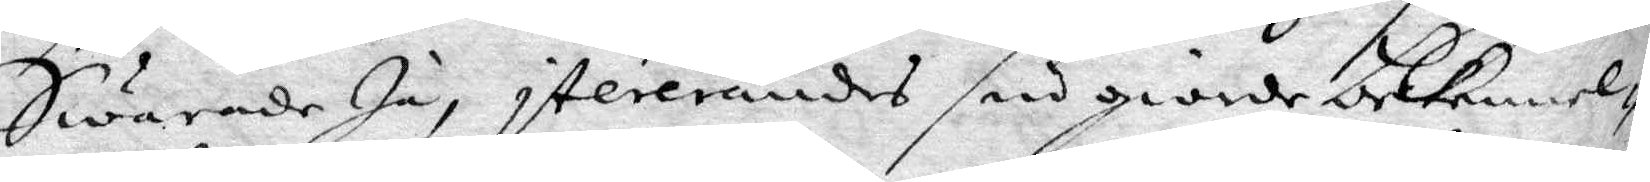Swarade Ja, itererandes sin giorde bekennel¬
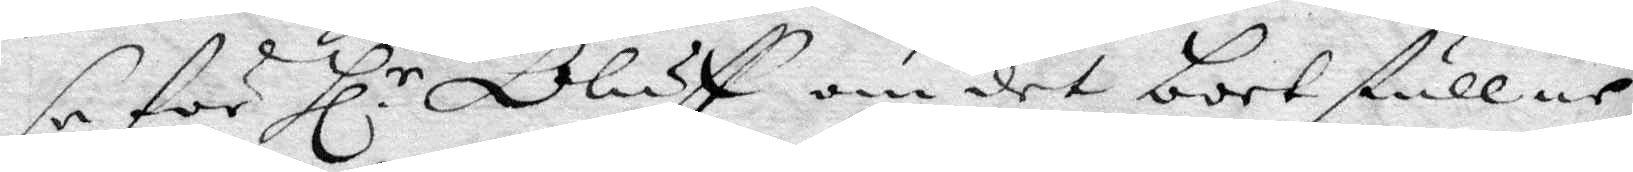se för Hl.r Oluff om det bortstullne 
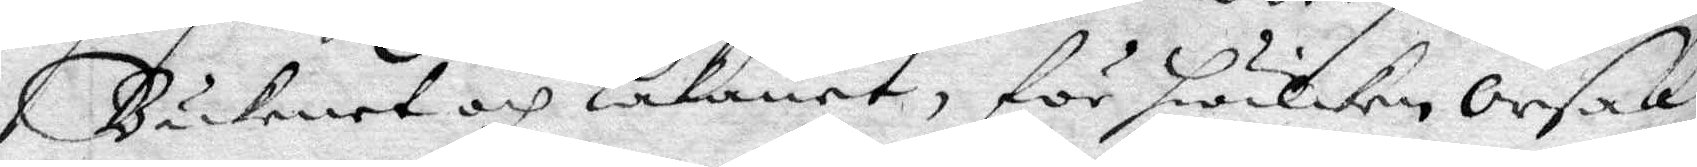Bäkenet och Lakanet, för hwilken orsak
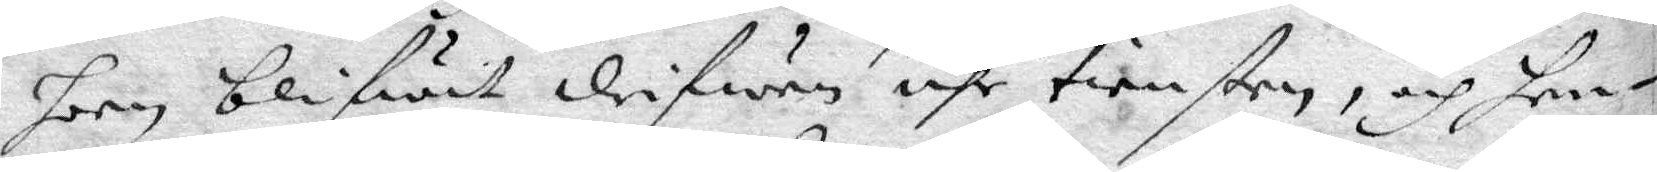hon blifwit drifwen uhr tiensten, och hen¬
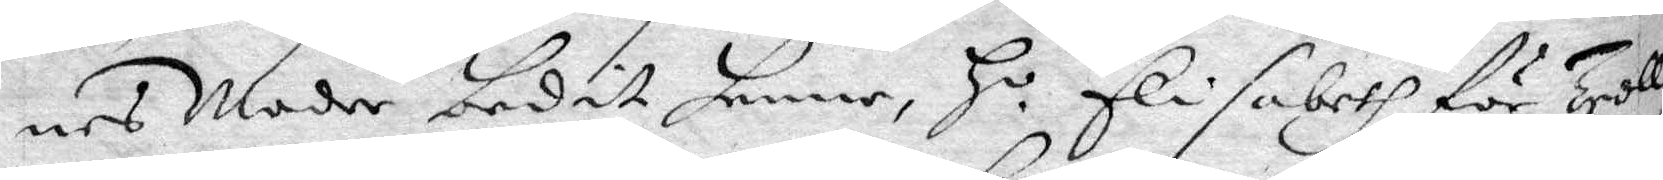nes Moder bedit henne H.o Elisabeth för Troll¬ 
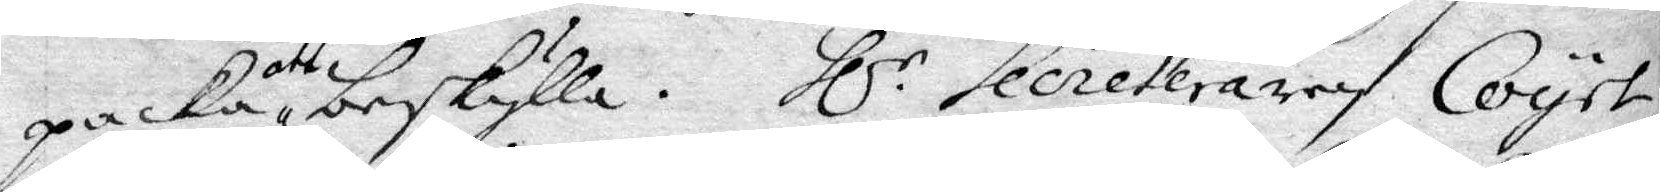packa att beskylla. Hl.r Secreteraren Coyet 
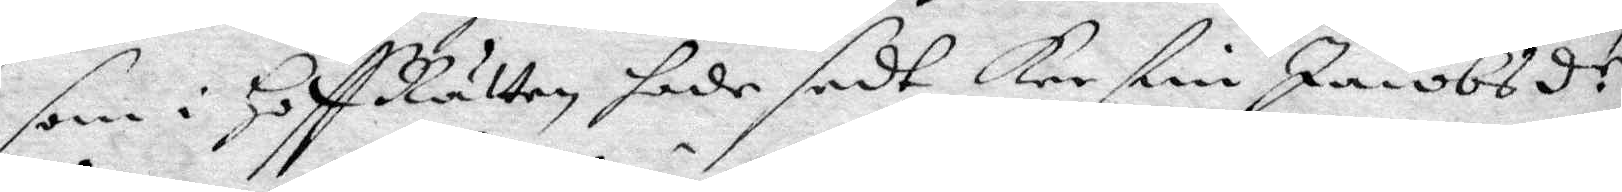som i HoffRätten hade sedt Kerstin Jacobsdr 
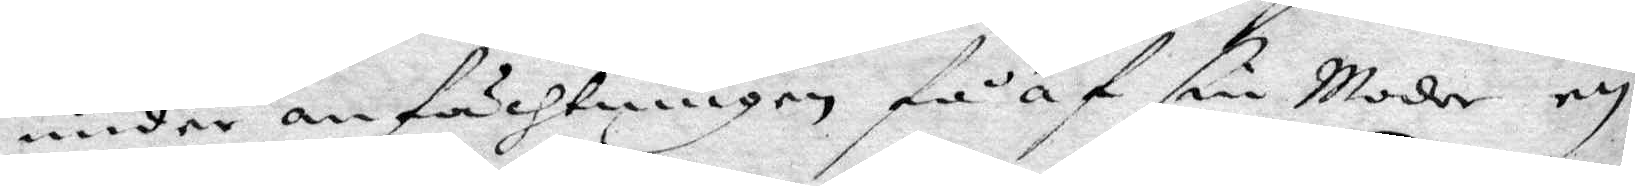under anfächtningen få af sin Moder en
